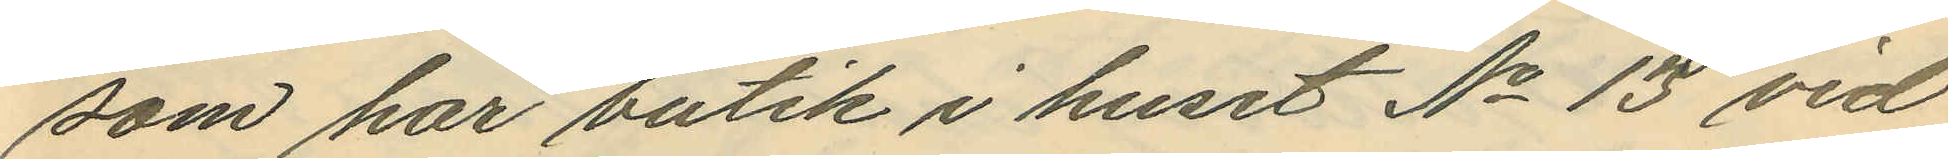som har butik i huset No 13 vid
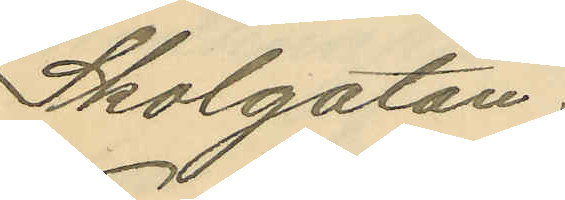Skolgatan;
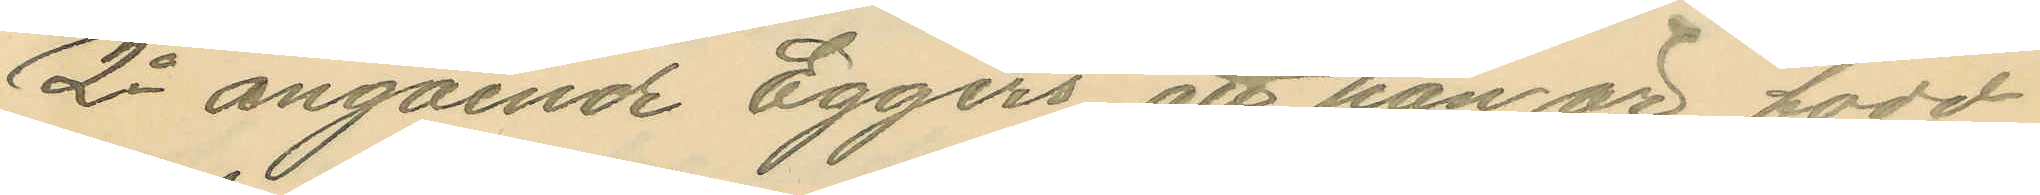2o angående Eggers att han är född
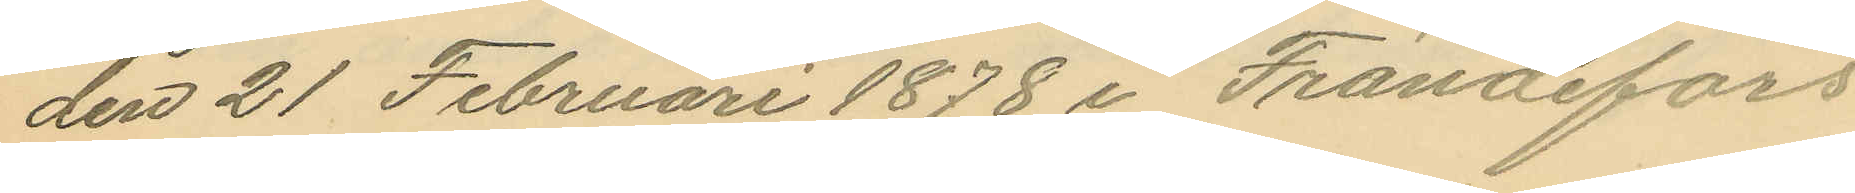den 21 Februari 1878 i Frändefors
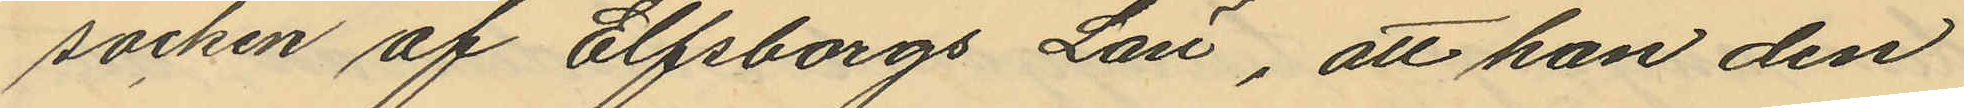socken af Elfsborgs Län, att han den
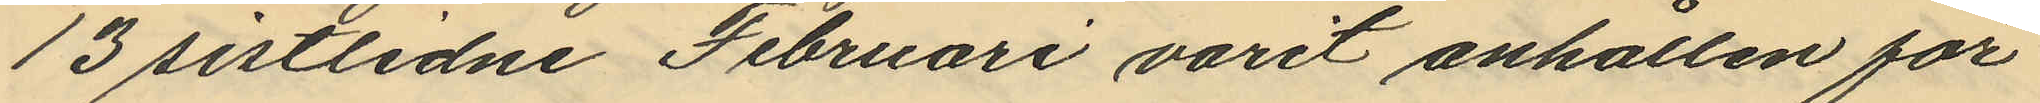13 sistlidne Februari varit anhållen för
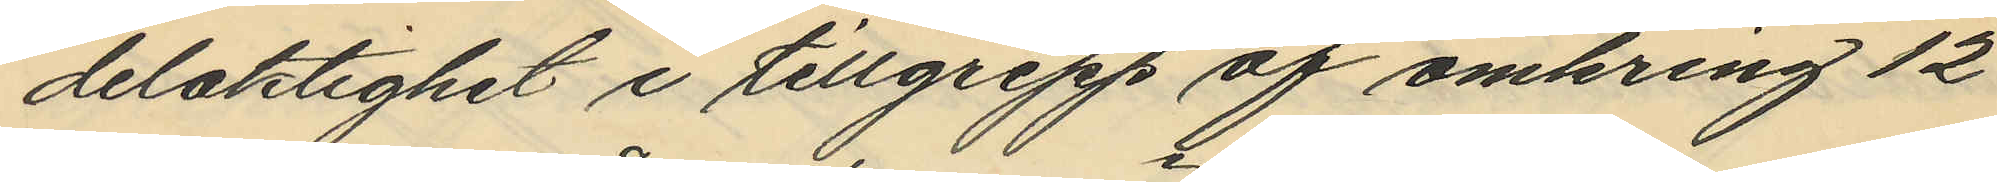delaktighet i tillgrepp af omkring 12
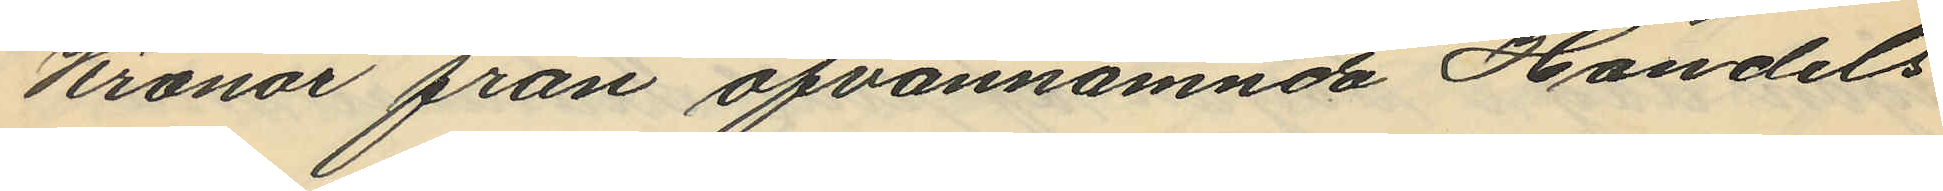Kronor från ofvannämnda Handels
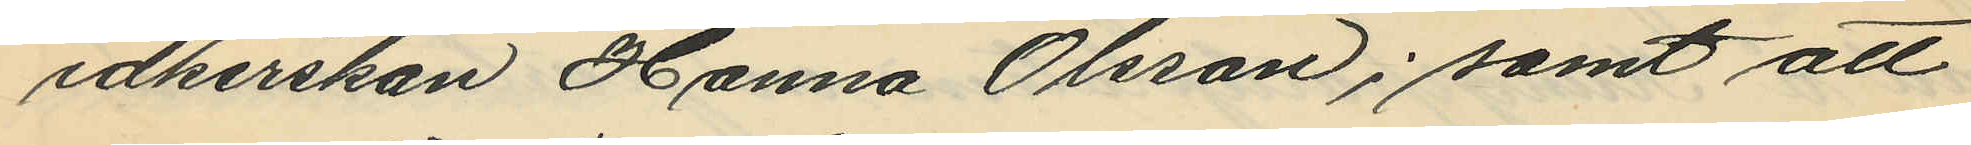idkerskan Hanna Olsson; samt att
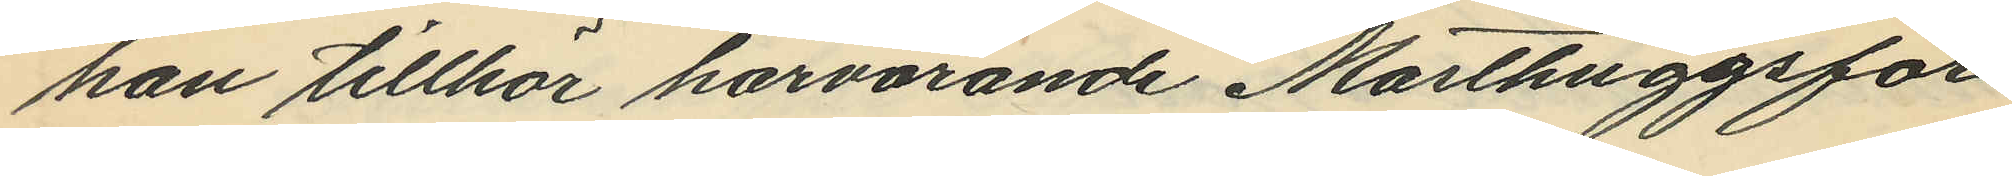han tillhör härvarande Masthuggsför¬
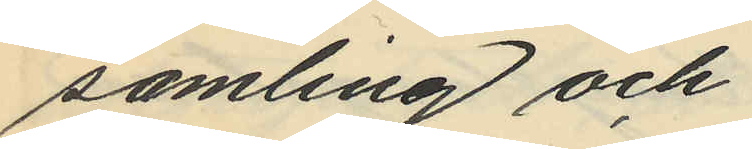samling och
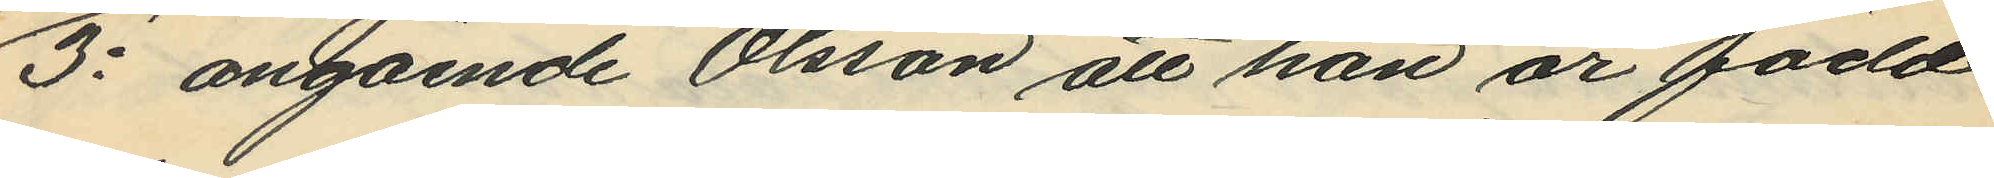3o angående Olsson att han är född
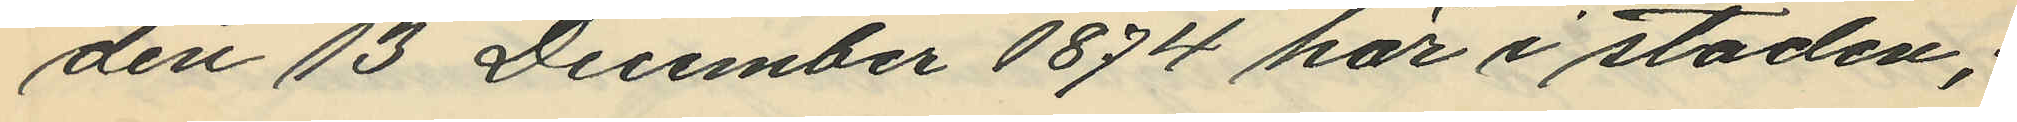den 13 December 1874 här i staden;
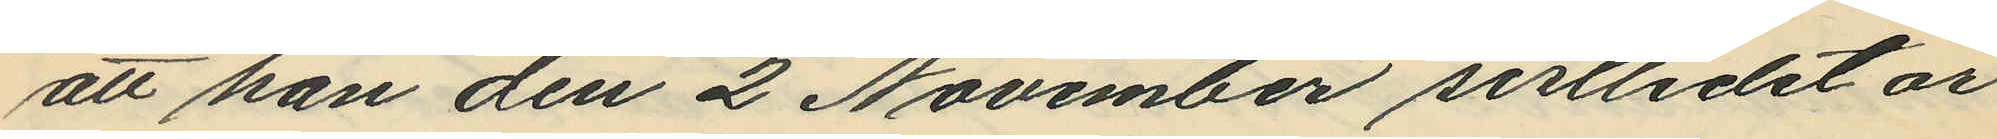att han den 2 November sistlidet år
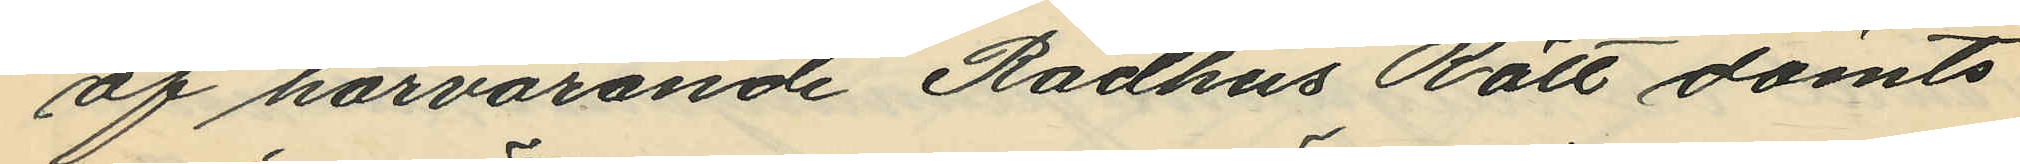af härvarande Rådhus Rätt dömts
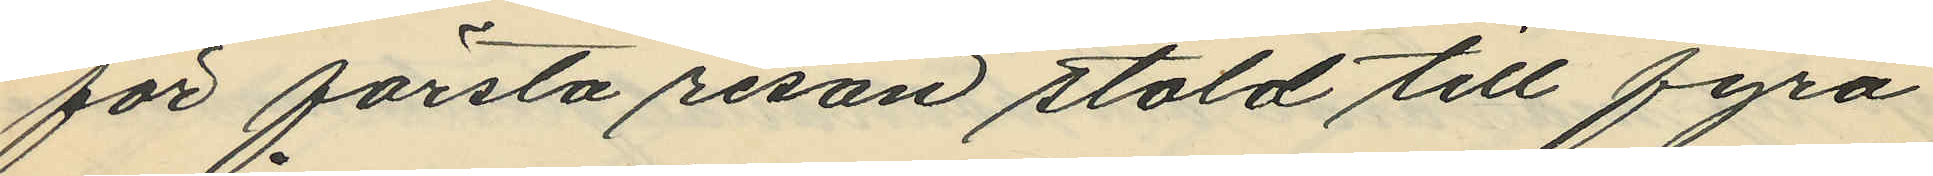för första resan stöld till fyra
